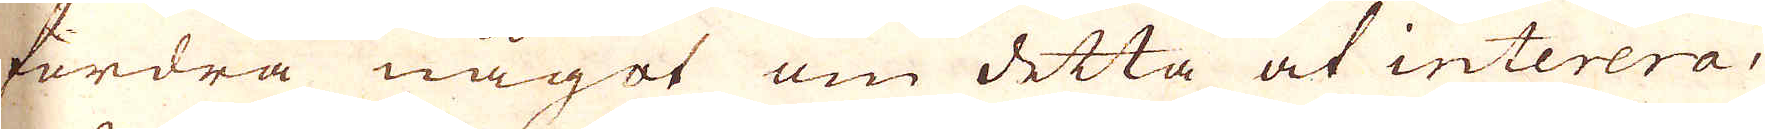fordra något om detta at interera,
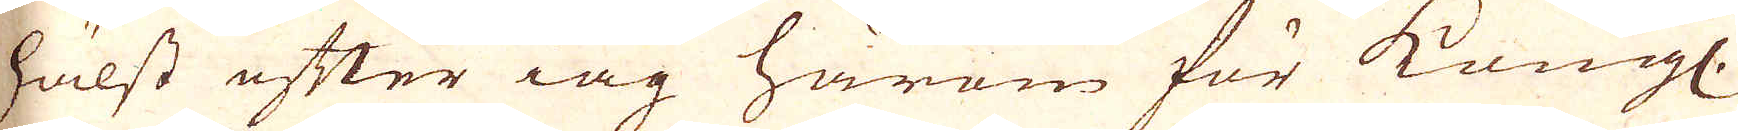hälst efter iag härom för kungl.
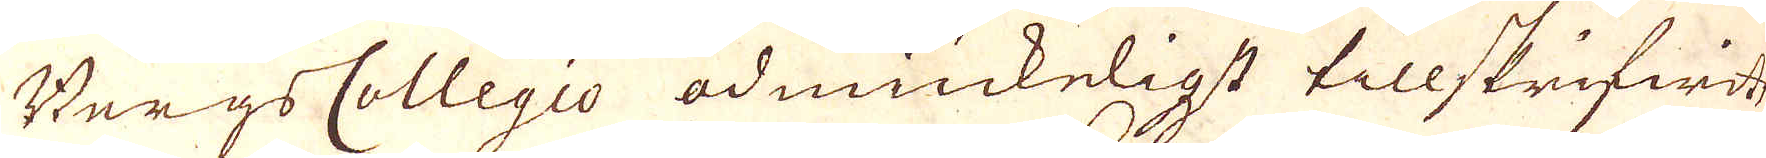Bergs Collegio ödmiukeligst tillskrifwit
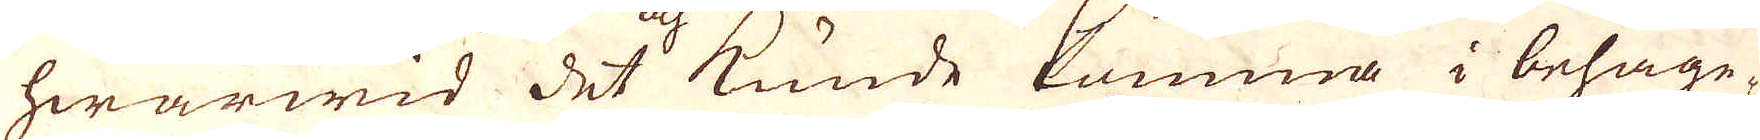hwarwid det och kunde komma i behage-
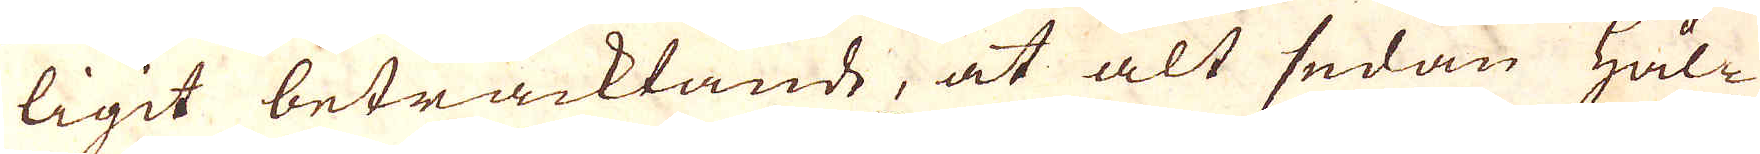ligit betracktande, at alt sedan Hål-
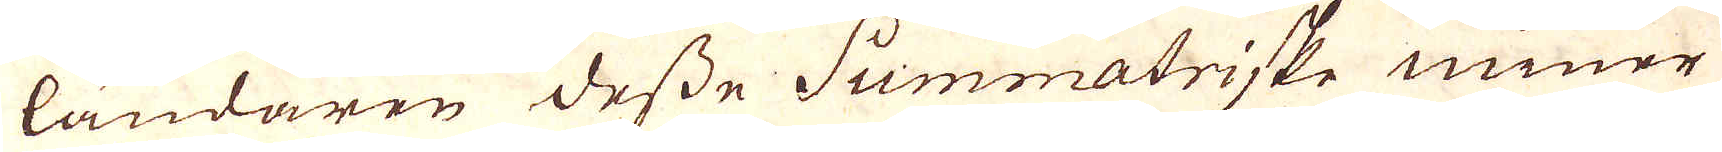ländaren desse Summatriske miner
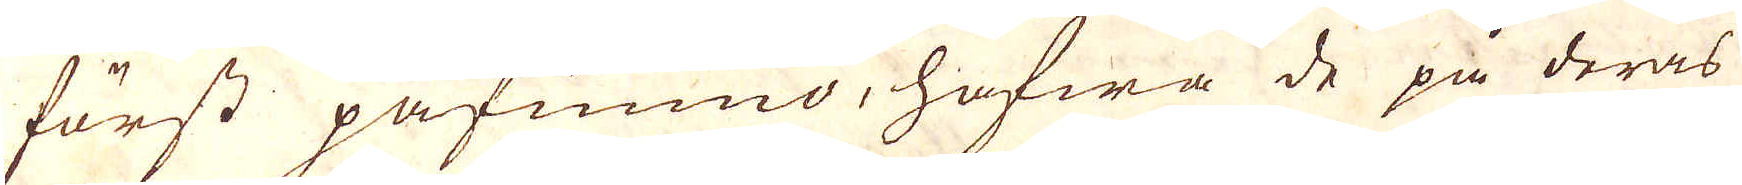först påfunno, hafwa de på deras
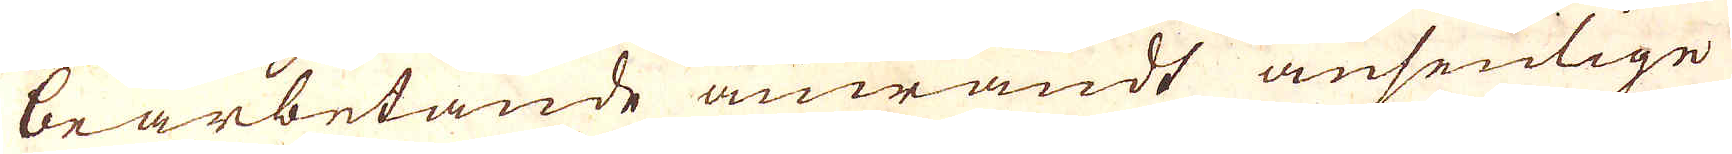bearbetande anwändt ansenlige
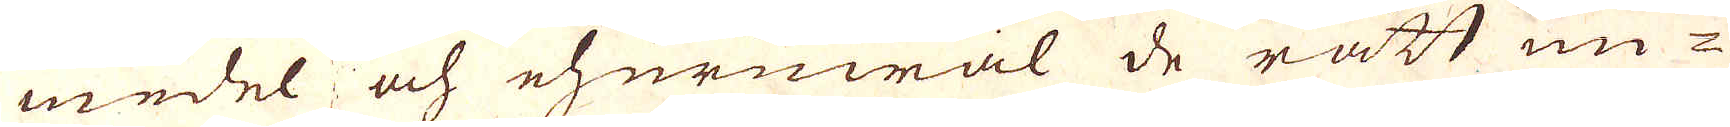medel och ehururwäl de rätt un-
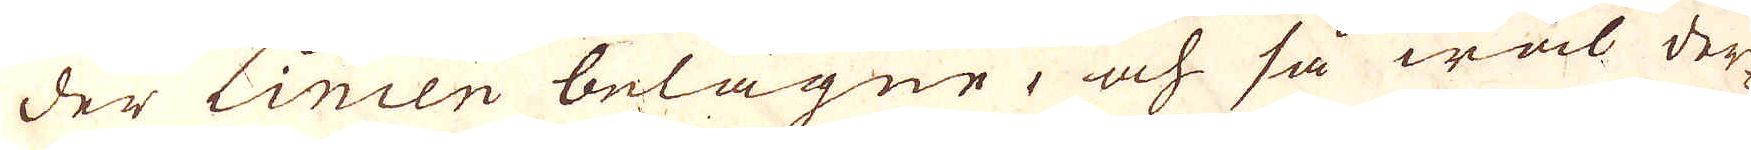der Linien belägne, och så wäl der-
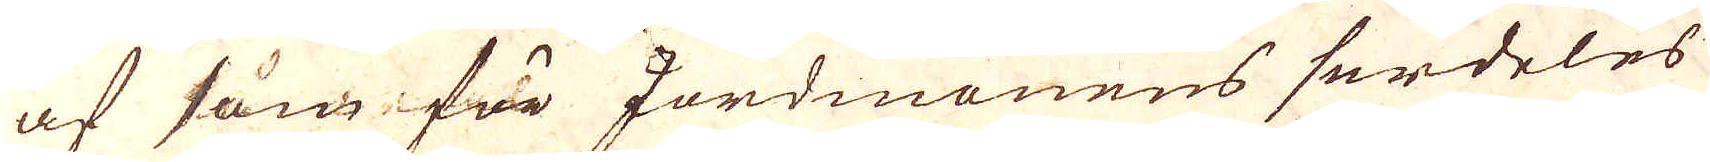af som för Jordmonens serdeles
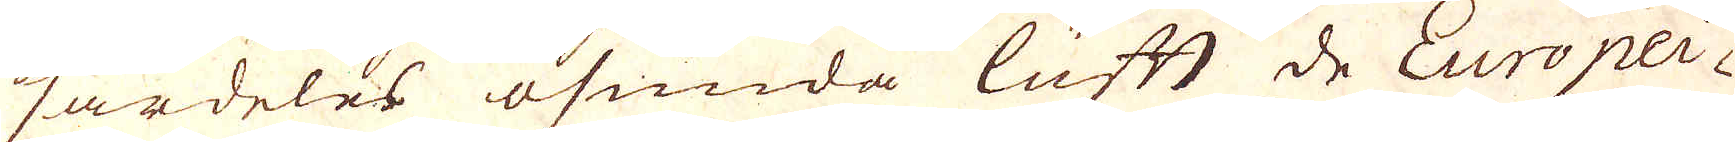särdeles osunda luft de Europei-
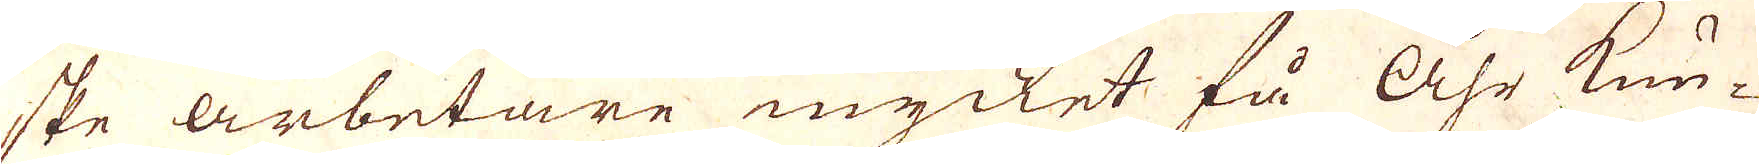ske arbetare mycket få åhr kun-
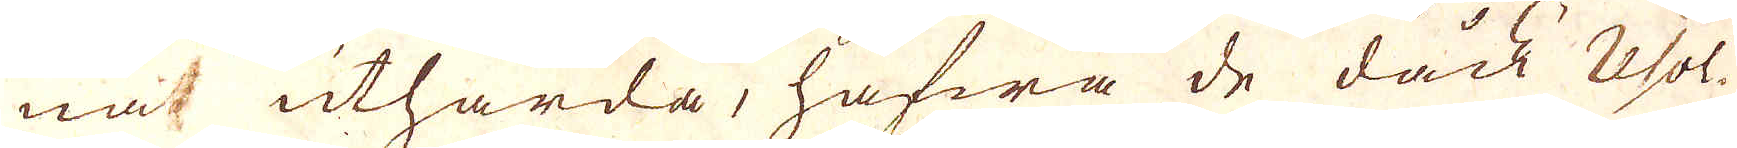na uthärda, hafwa de dåck Resol-
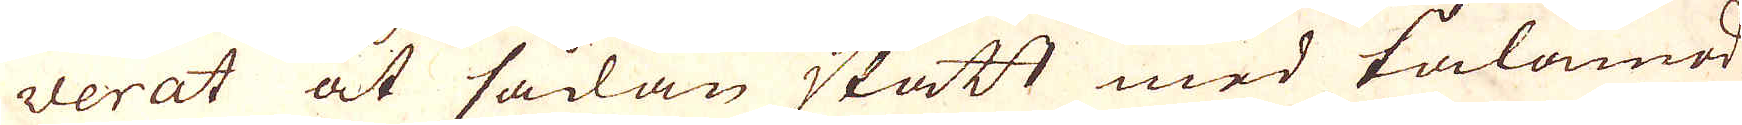verat at sådan skatt med tålamod
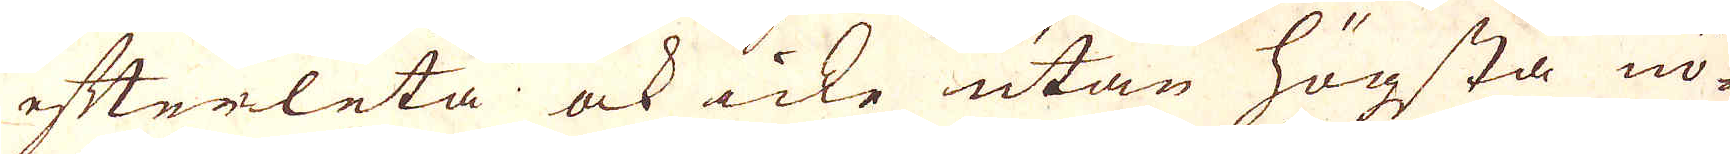efterleta ock icke utan högsta nö-
